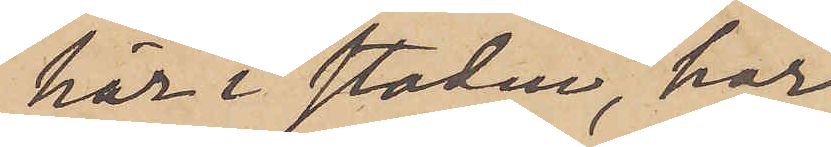här i staden, har
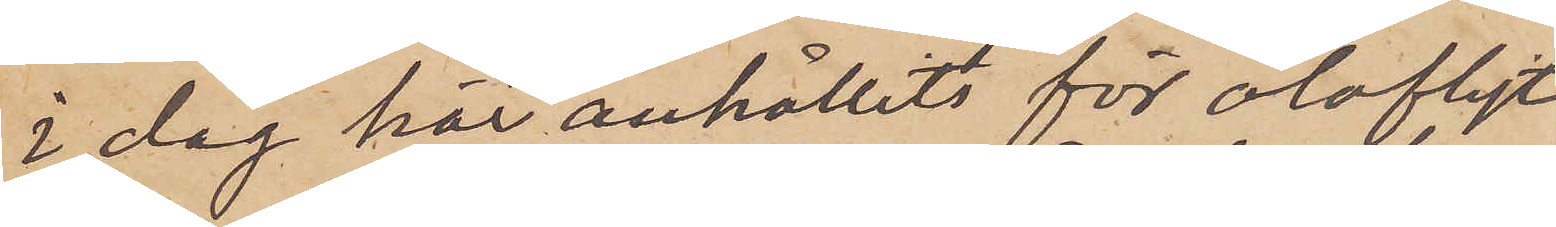i dag här anhållits för olofligt
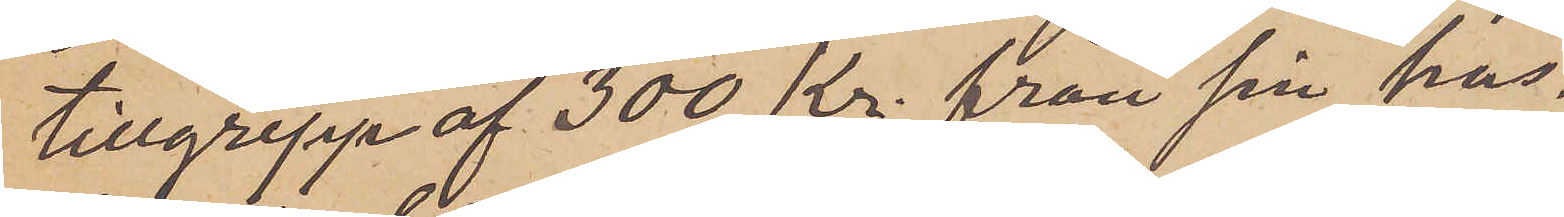tillgrepp af 300 Kr. från sin hus¬
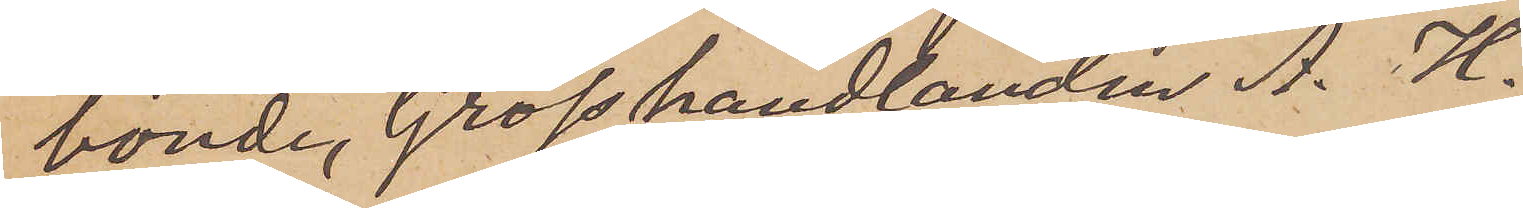bonde, Grosshandlanden A. H.
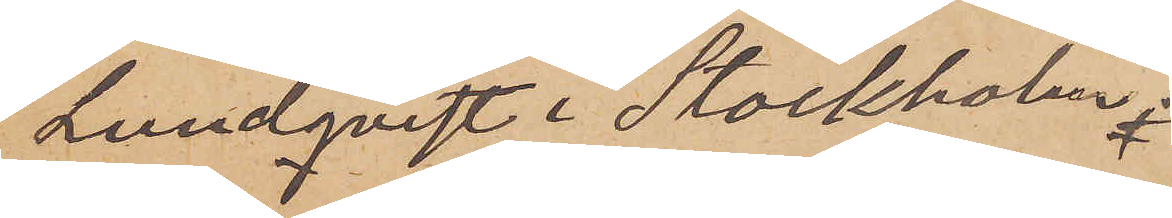Lundqvist i Stockholm.
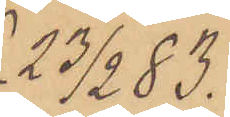23/2 83.
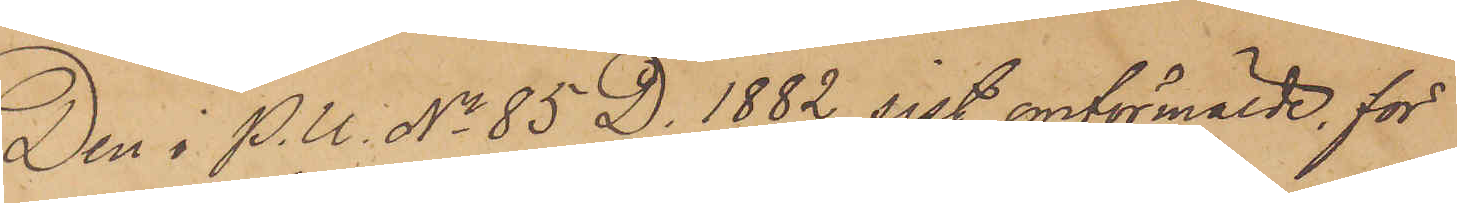Den i P.U. No 85 D. 1882 sist omförmälde för
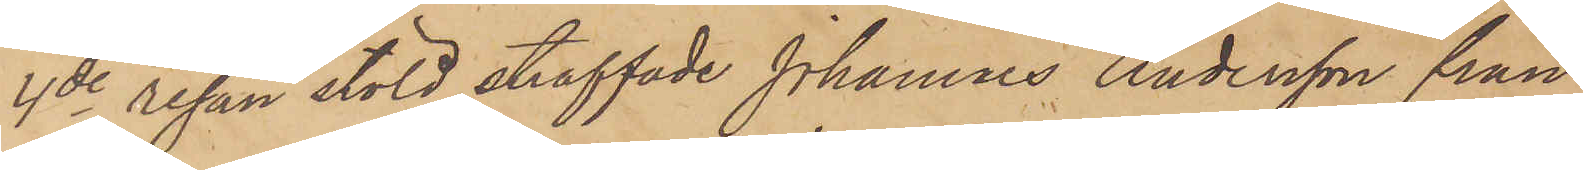4de resan stöld straffade Johannes Andersson från
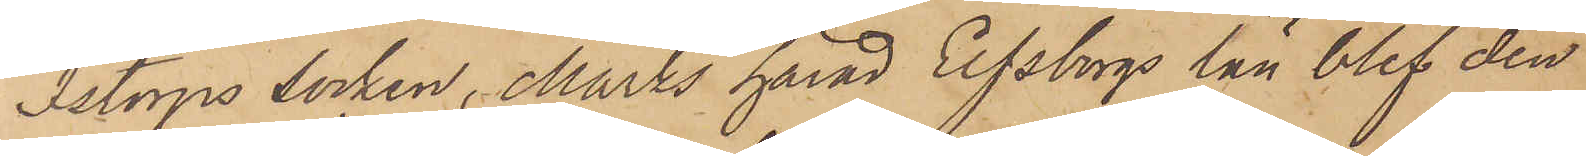Istorps socken, Marks härad Elfsborgs län blef den
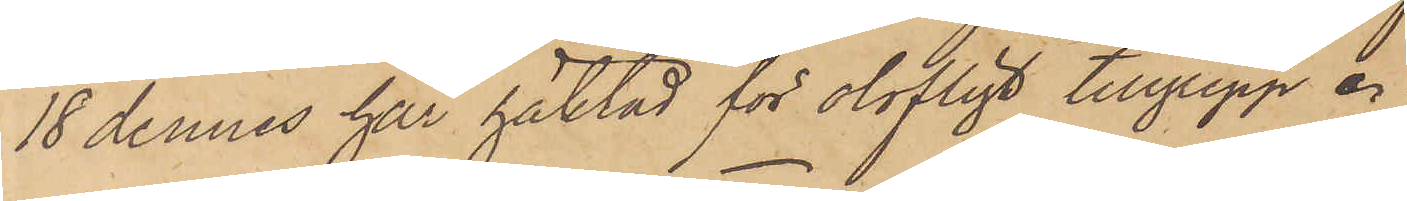18 dennes har häktad för olofligt tillgrepp.
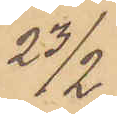23/2
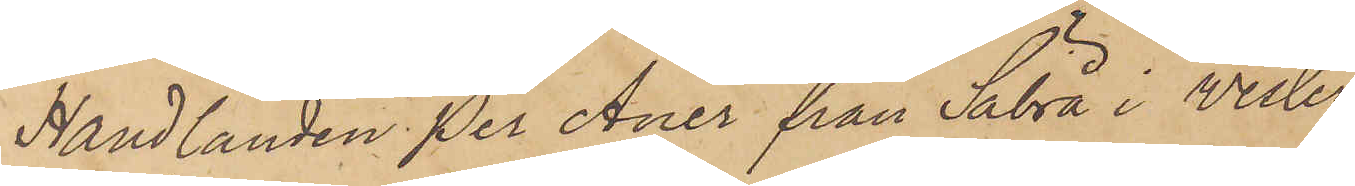Handlanden Per Anér från Säbrå i Wester
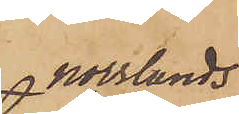norrlands
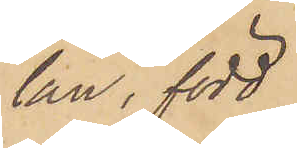län, född
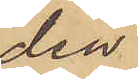den
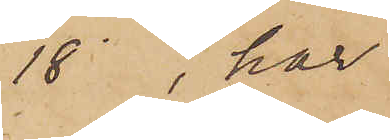18 , har
